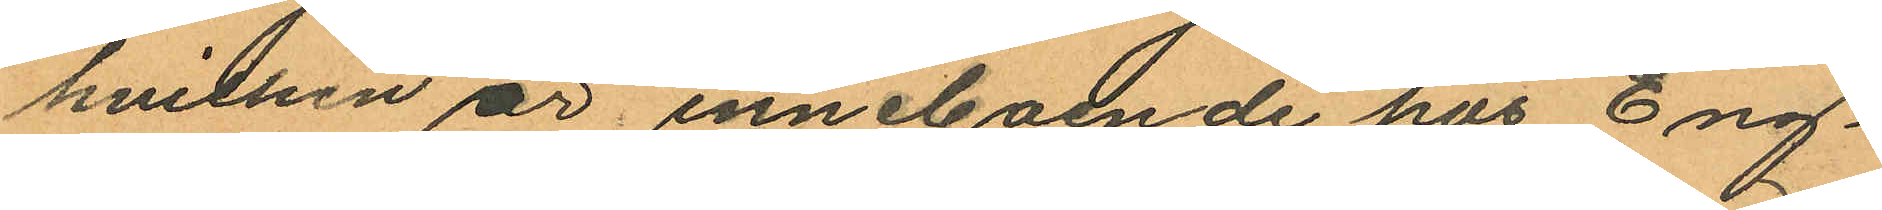hvilken är inneboende hos Eng¬
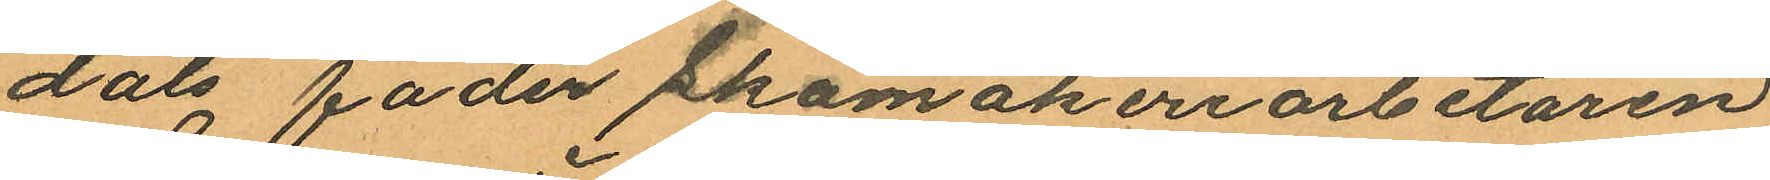dals fader Skomakeriarbetaren
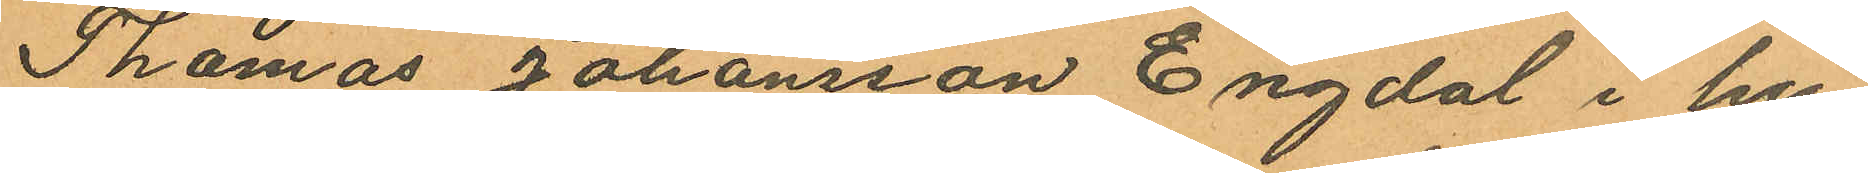Thomas Johansson Engdal i hu¬
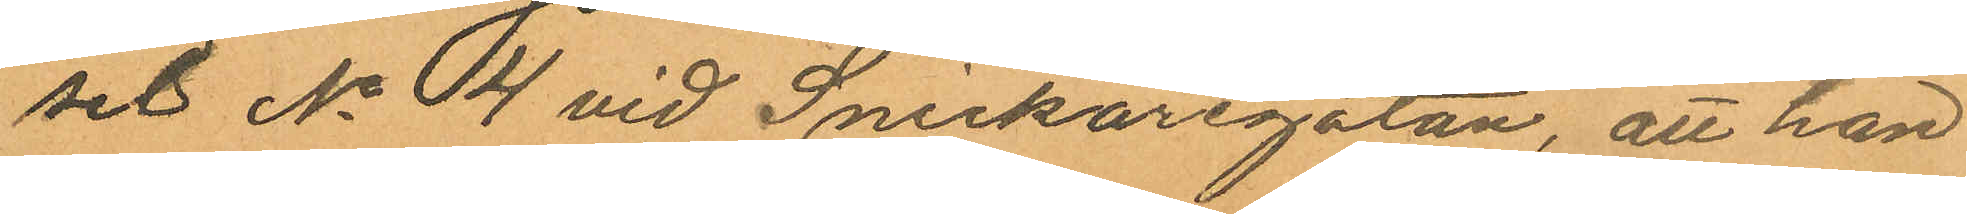set No 4 vid Snickaregatan, att han
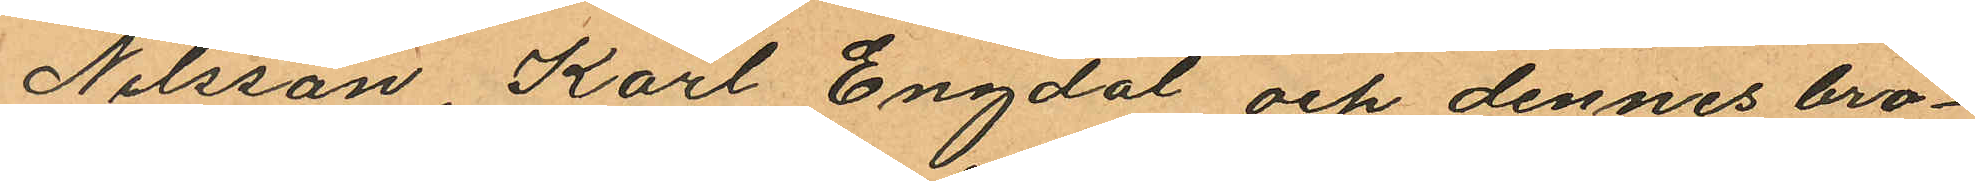Nilsson, Karl Engdal och dennes bro¬
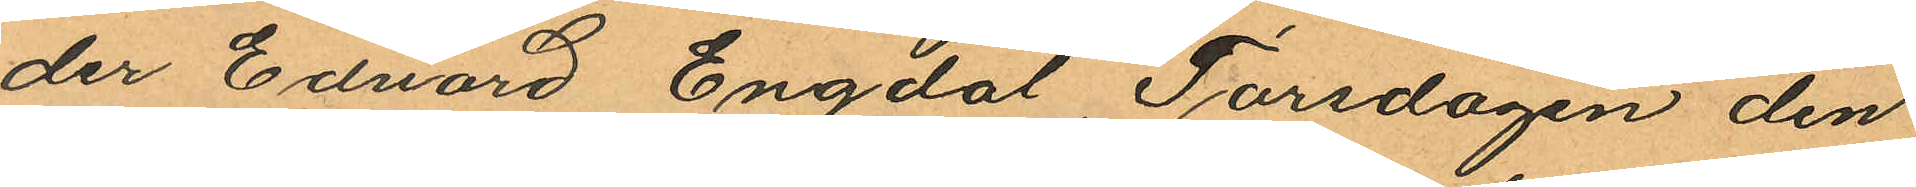der Edvard Engdal, Torsdagen den
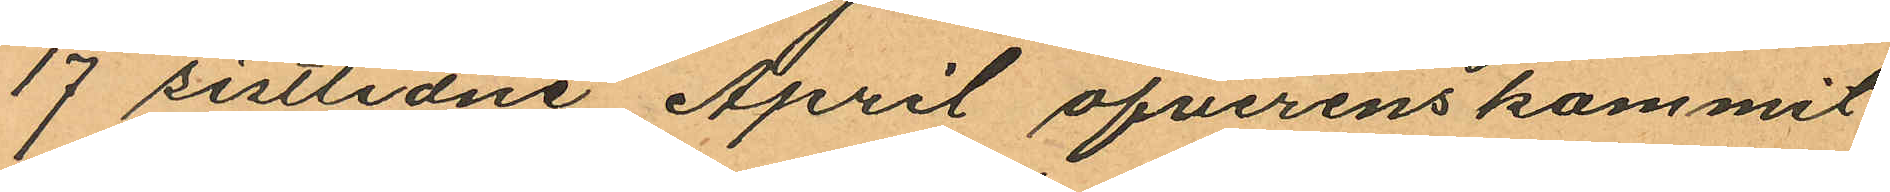17 sistlidne April öfverenskommit
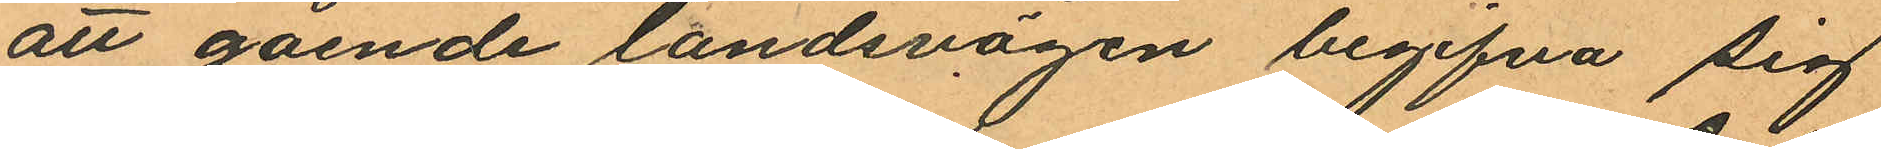att gående landsvägen begifva sig
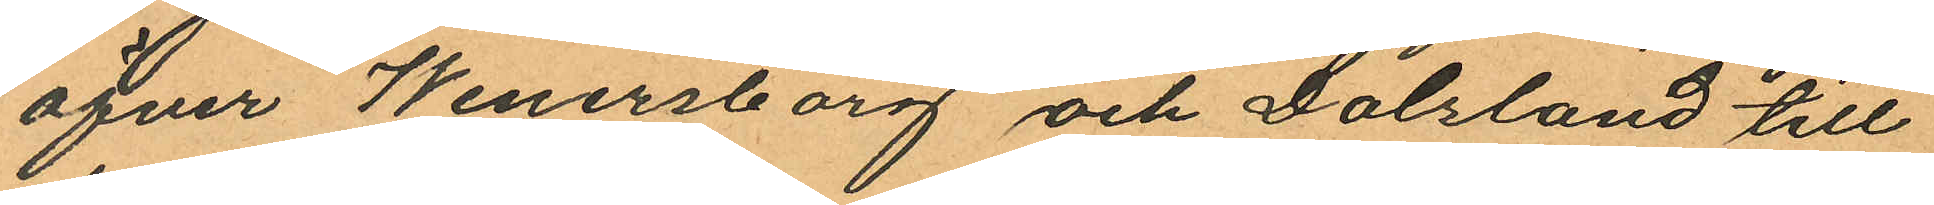öfver Wenersborg och Dalsland till
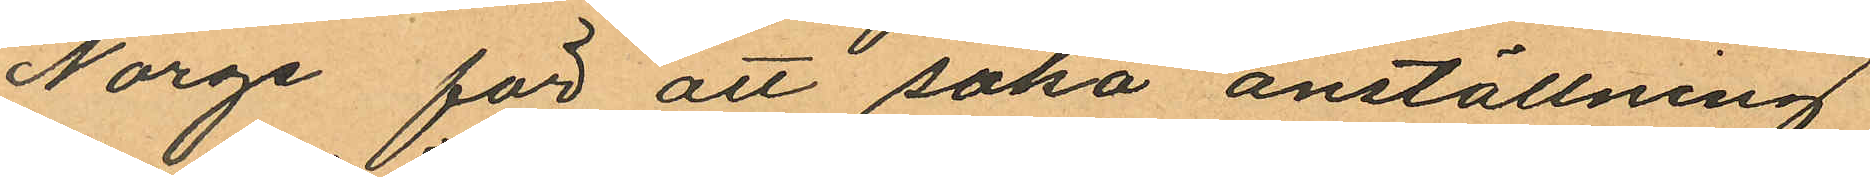Norge för att söka anställning
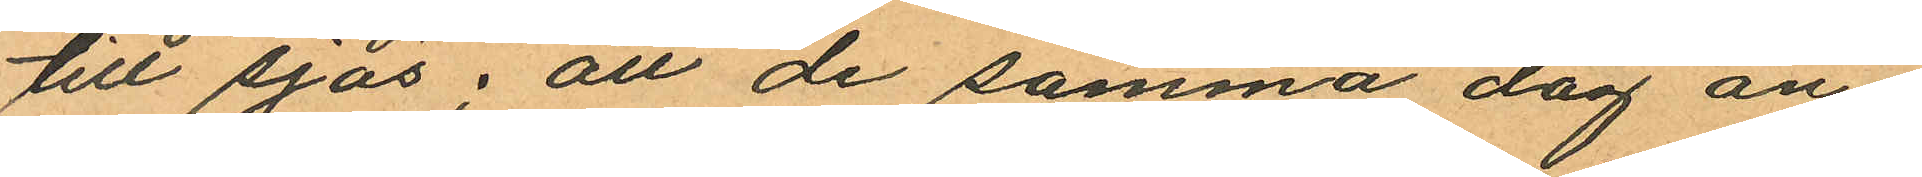till sjös; att de samma dag an
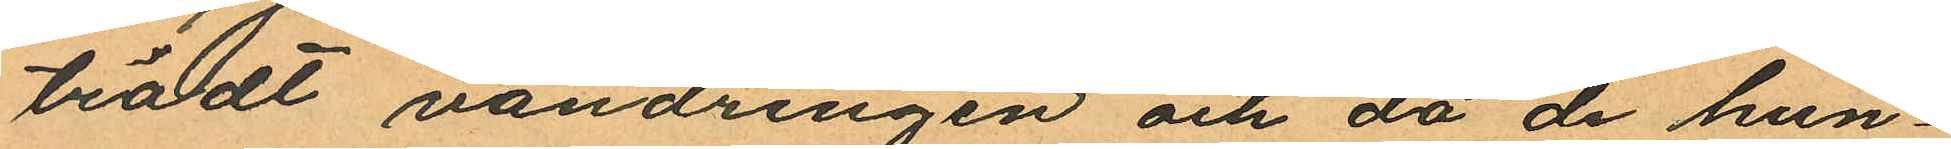trädt vandringen och då de hun¬
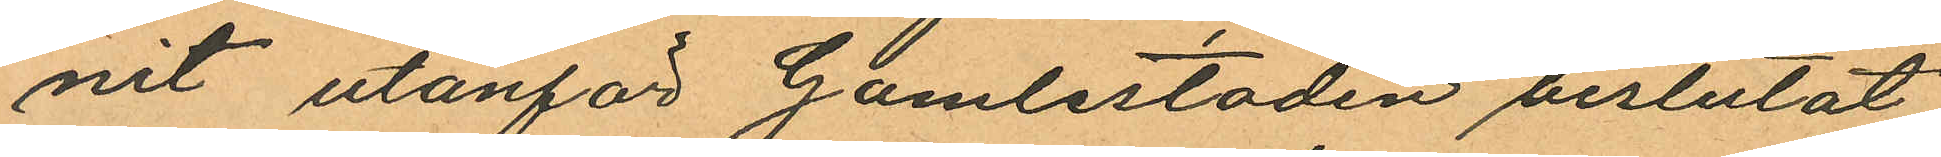nit utanför Gamlestaden beslutat
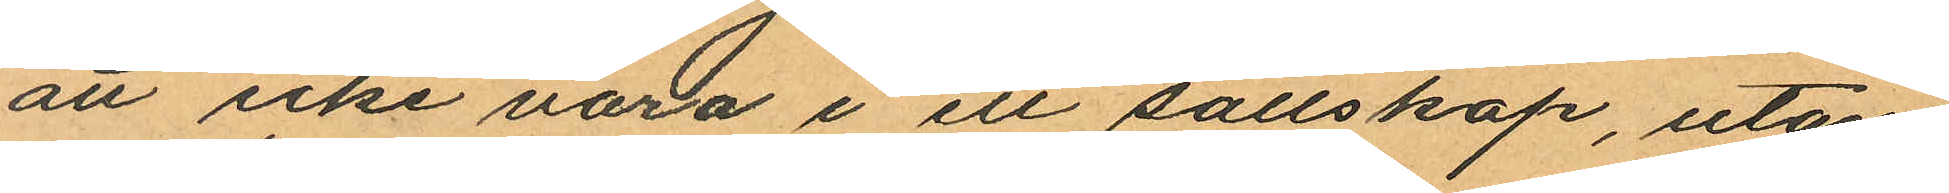att icke vara i ett sällskap, utan
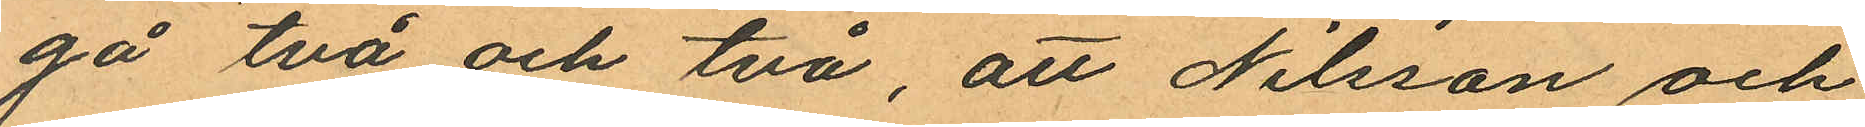gå två och två, att Nilsson och
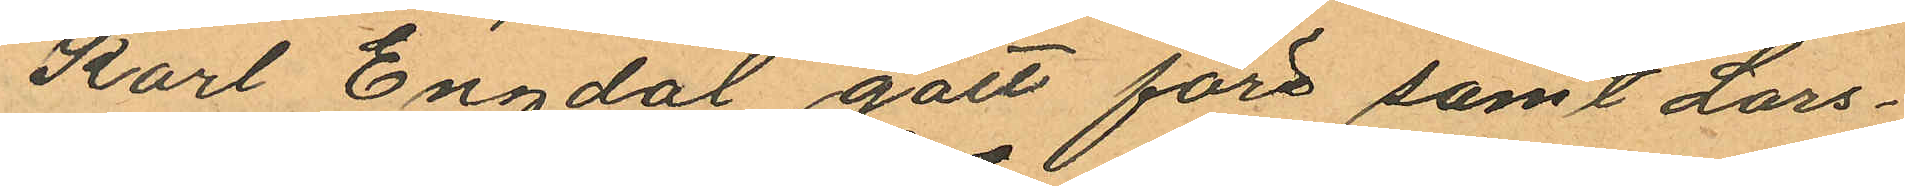Karl Engdal gått före samt Lars¬
